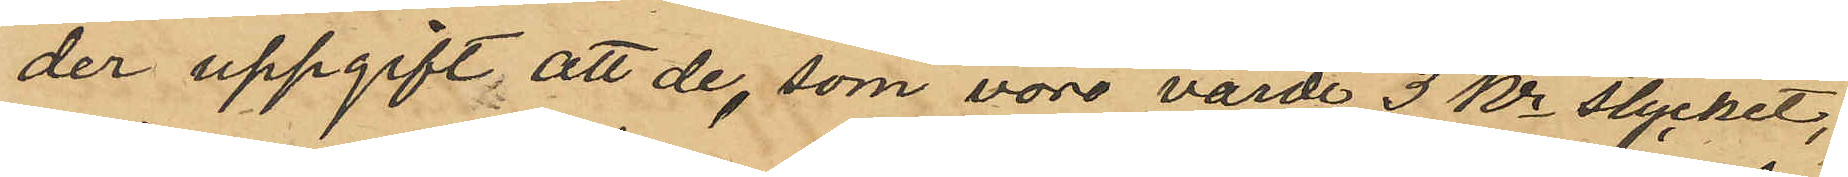der uppgift, att de, som vore värde 3 kr stycket,
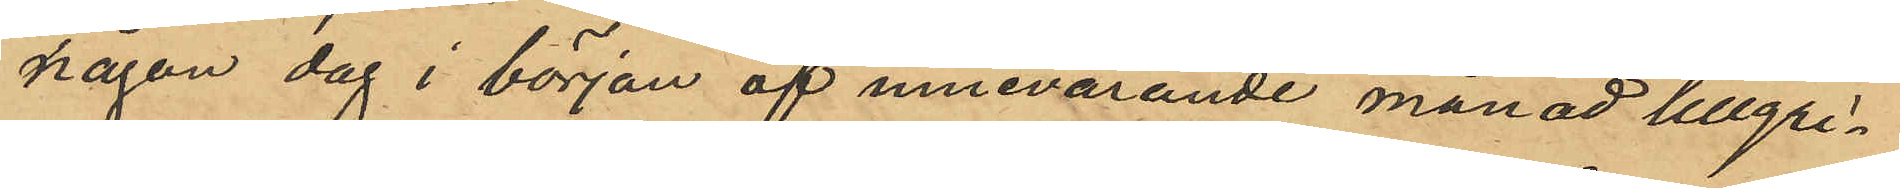någon dag i början af innevarande månad tillgri¬
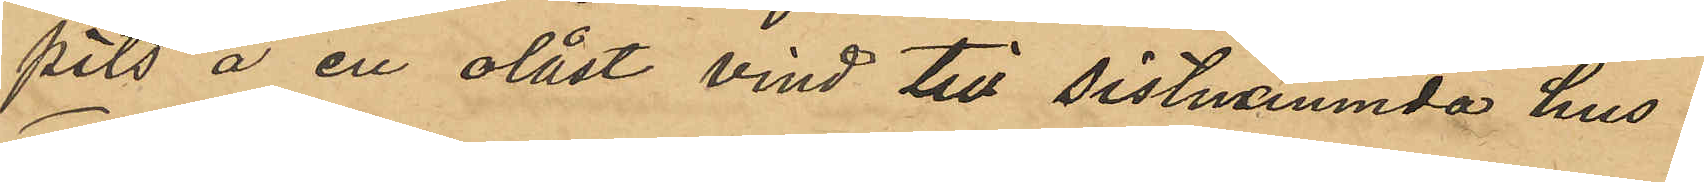pits å en olåst vind till sistnämnda hus;
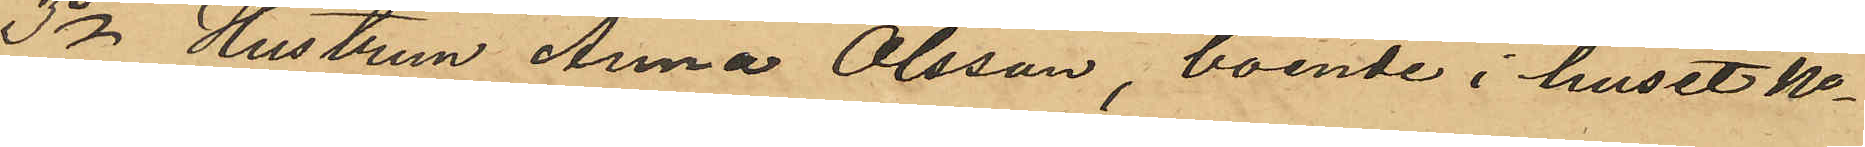3o Hustrun Anna Olsson, boende i huset No
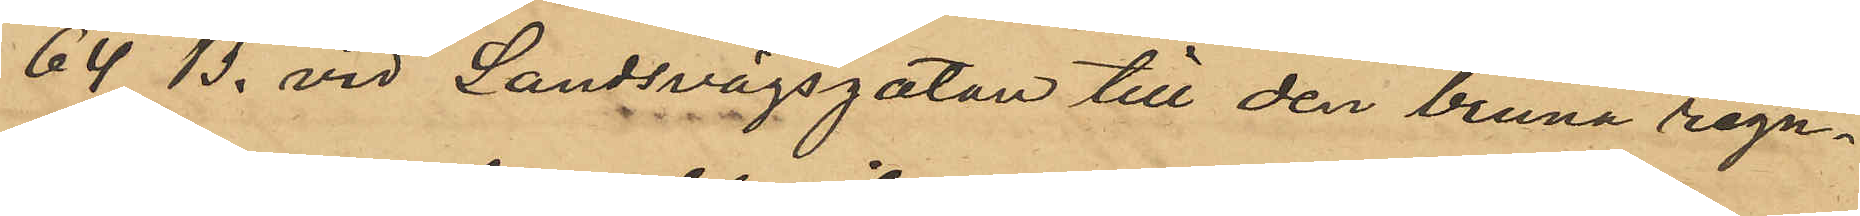64 B. vid Landsvägsgatan till den bruna regn¬
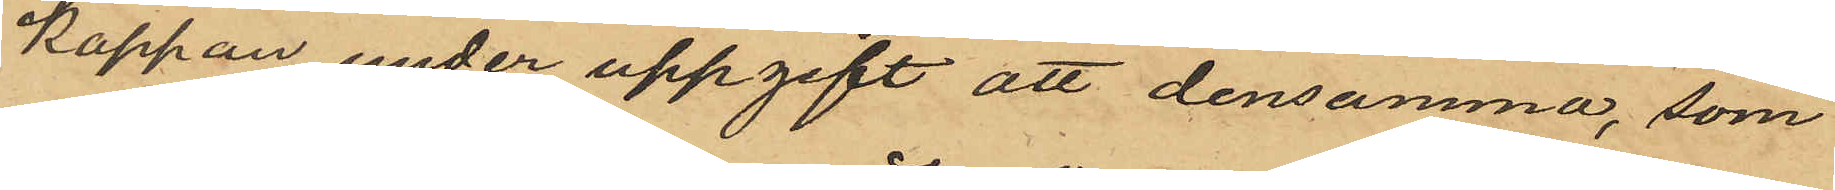kappan, under uppgift att densamma, som
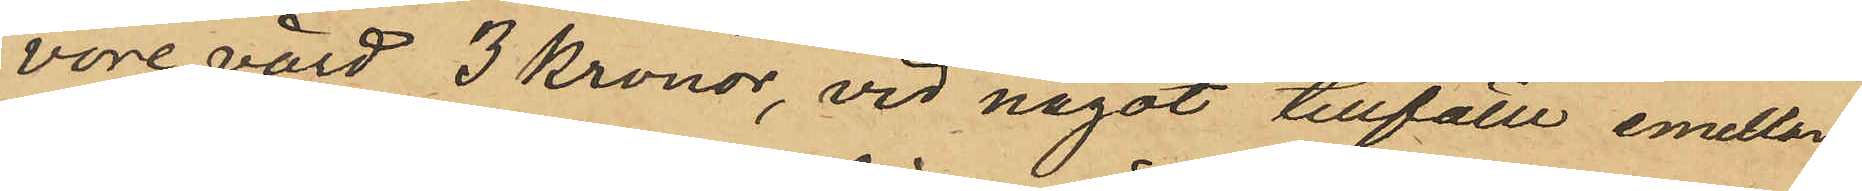vore värd 3 kronor, vid något tillfälle emellan
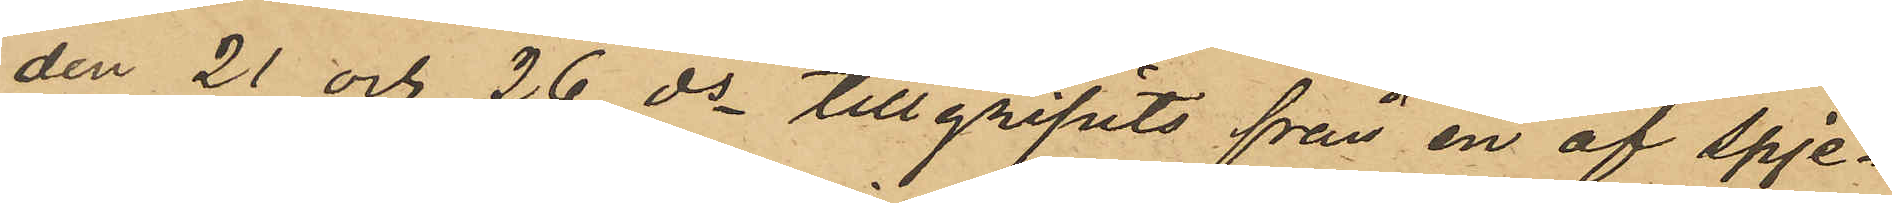den 21 och 26 ds tillgripits från en af spje¬
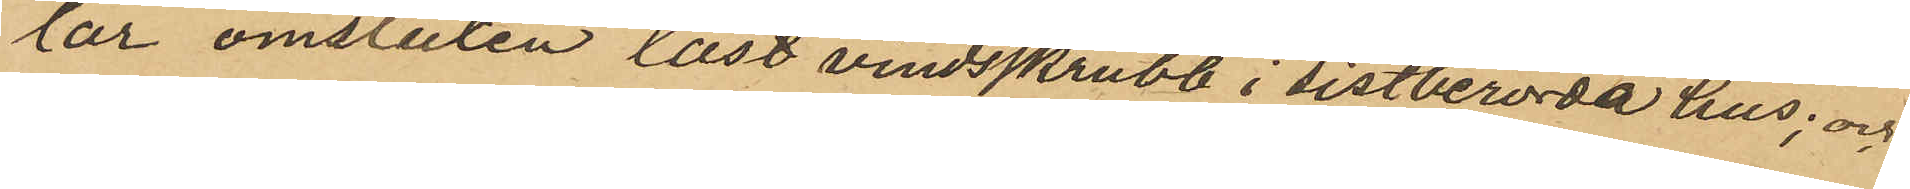lar omsluten låst vindsskrubb i sistberörda hus; och
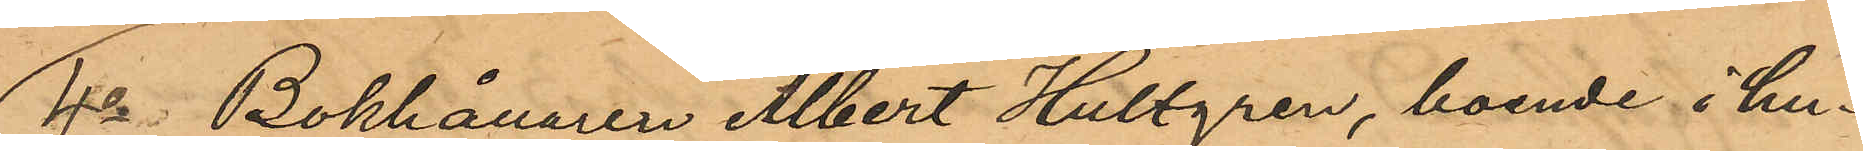4o Bokhållaren Albert Hultgren, boende i hu¬
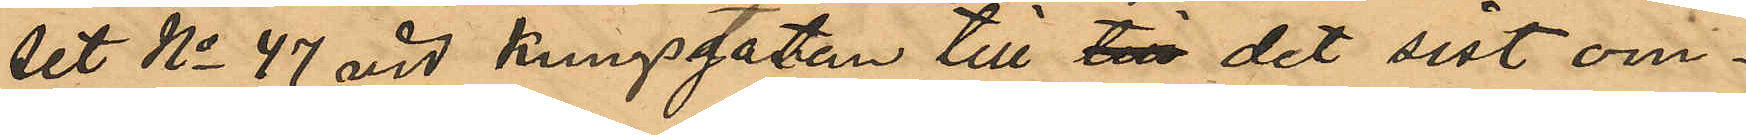set No 47 vid Kungsgatan till till det sist om¬
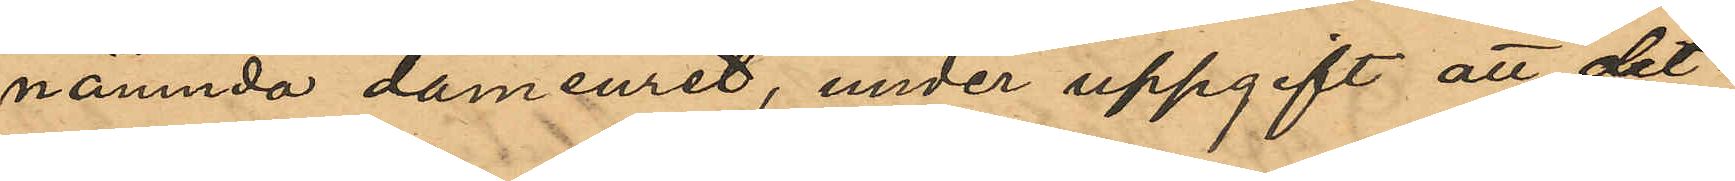nämnda dameuret, under uppgift att det¬
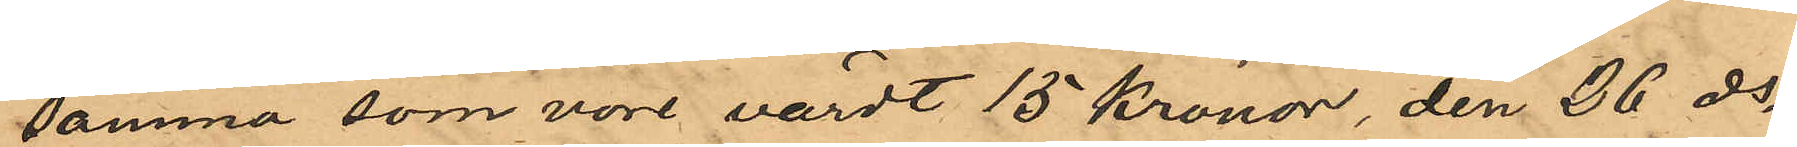samma som vore värdt 15 kronor, den 26 ds
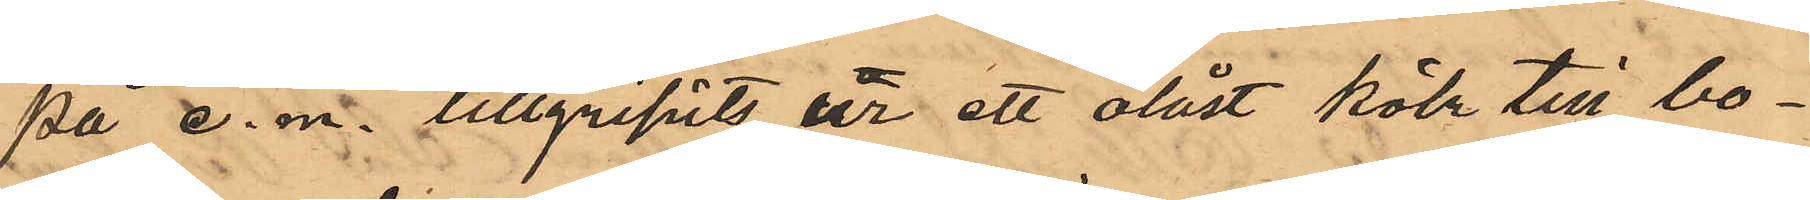på e. m. tillgripits ur ett olåst kök till bo¬
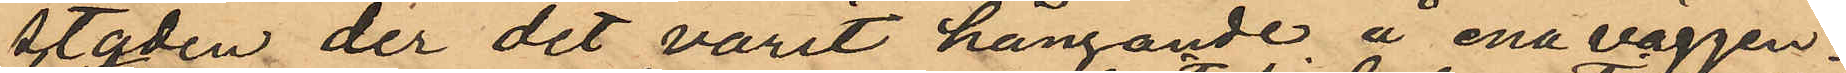staden der det varit hängande å ena väggen.
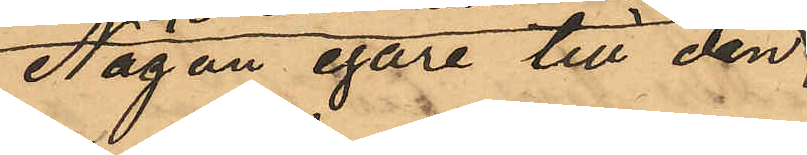Någon egare till den
